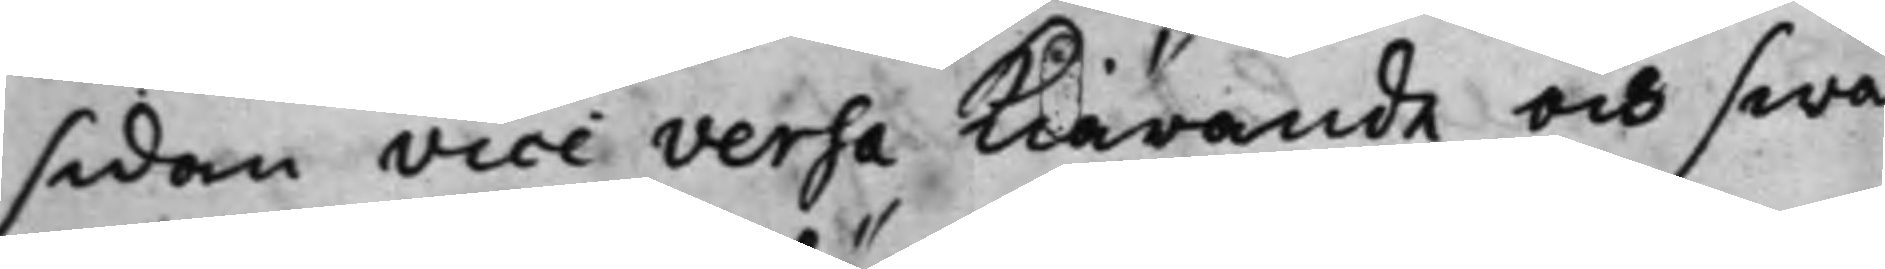sidan vice versa kiärande och swa¬
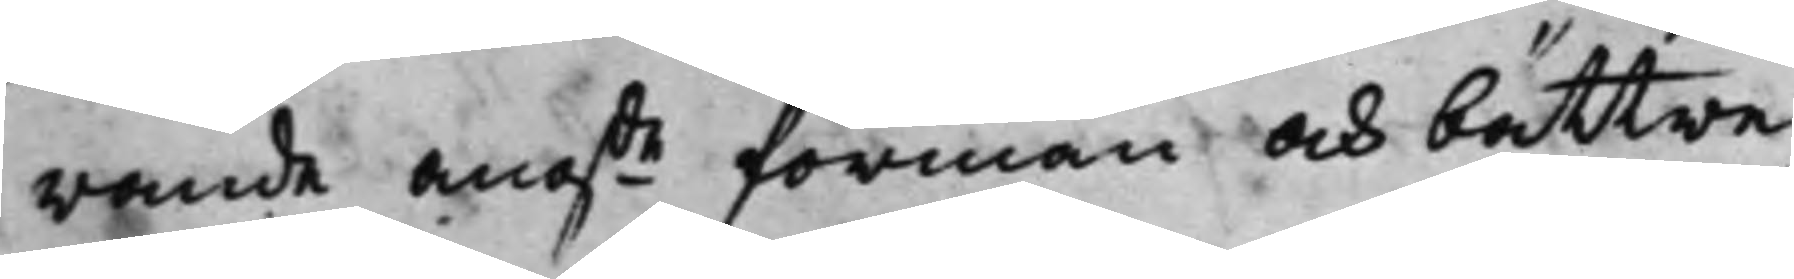rande angde förmån och bättre
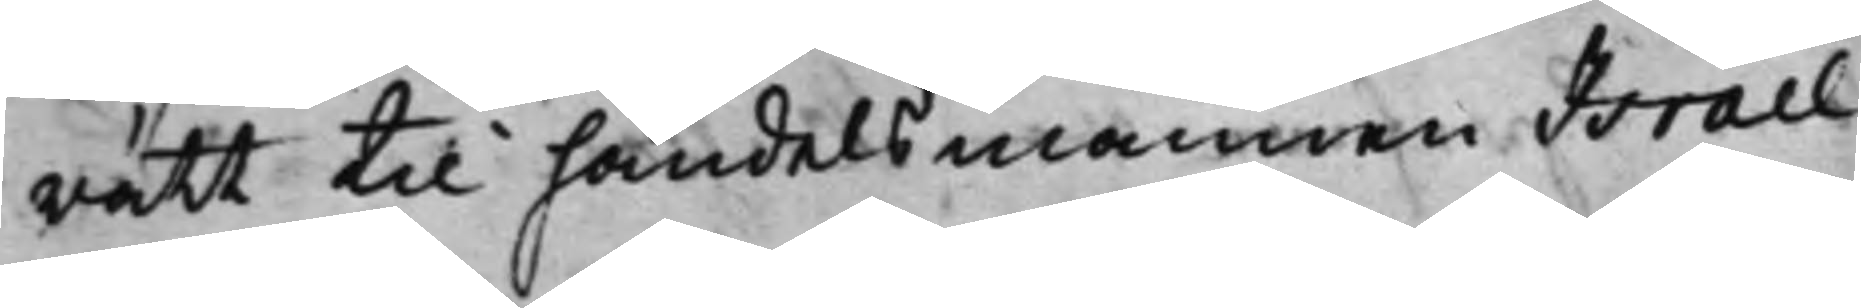rätt til handelsmannen Israel
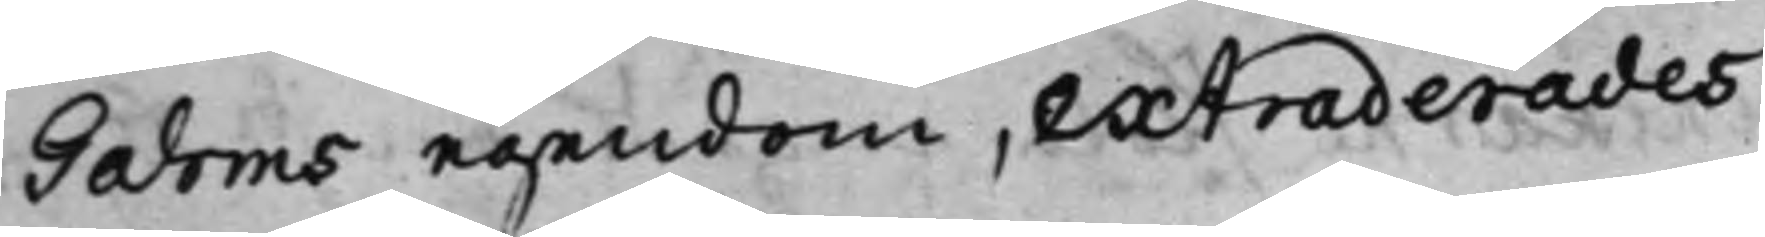Gahms egendom, extraderades
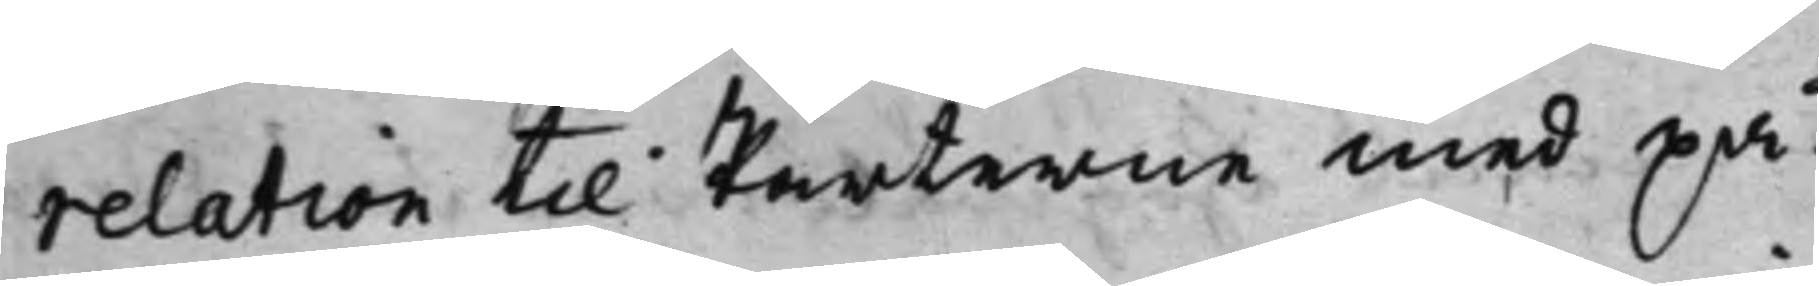relation til Parterne med på¬
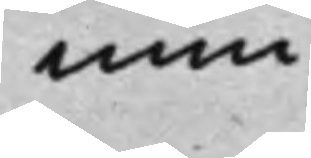min¬
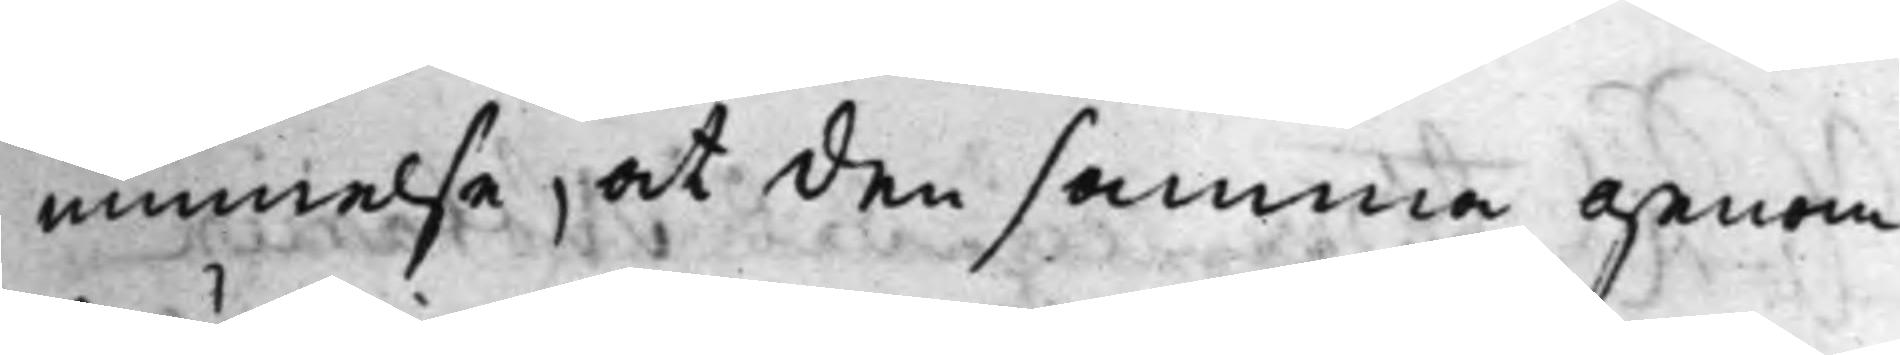minnelse, at den samma genom¬
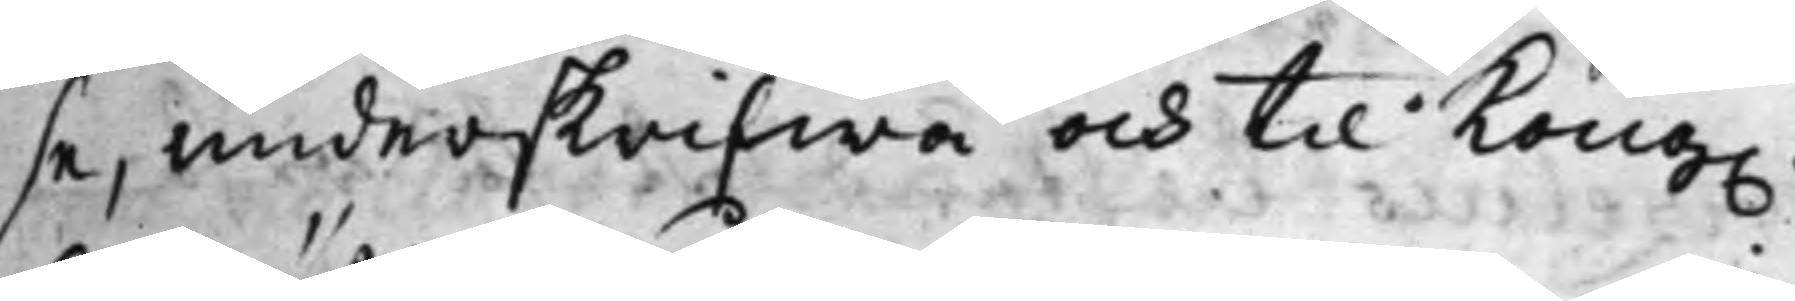se, underskrifwa och till Kong.
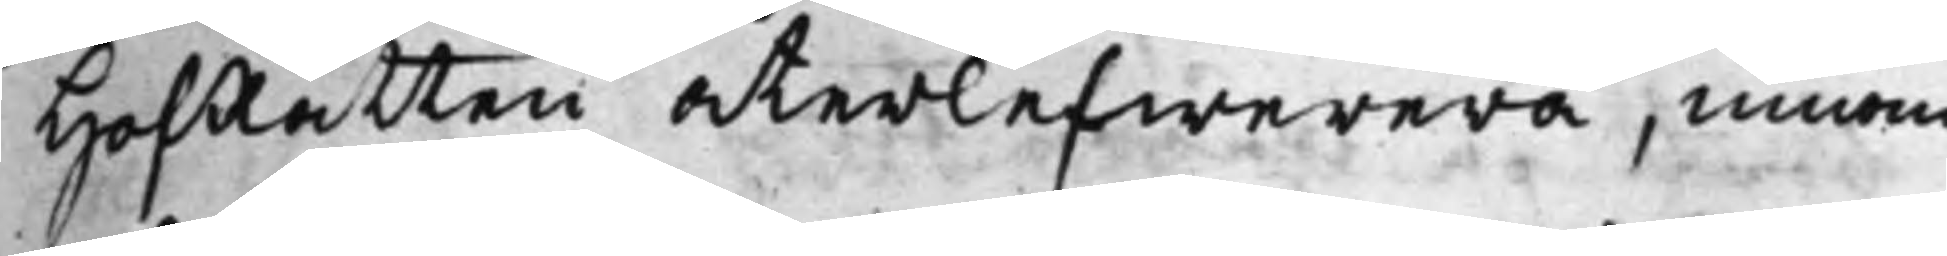HofRätten återlefwerera, innom
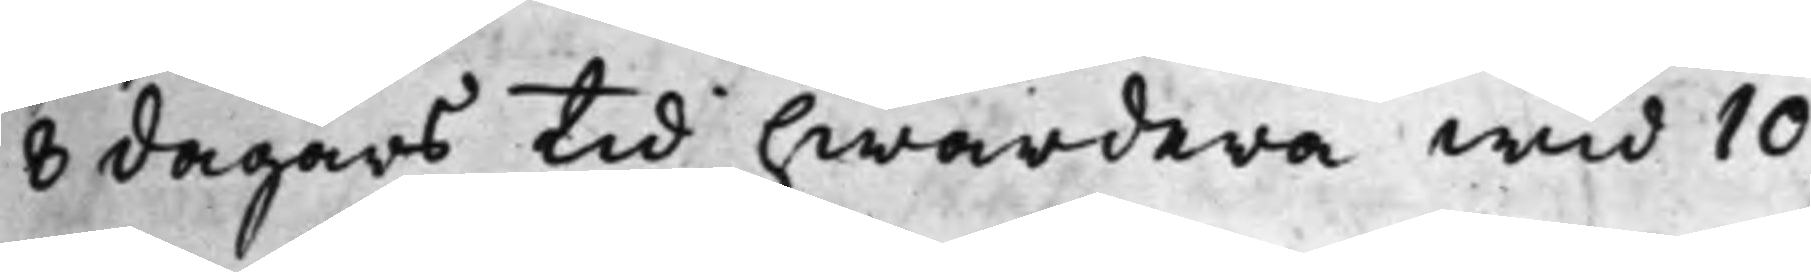8 dagars tid hwardera wid 10
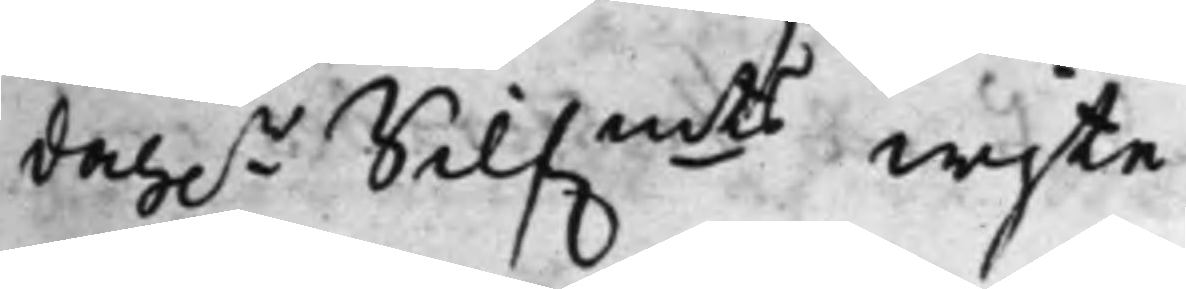dah.r Silf.mts wijte.
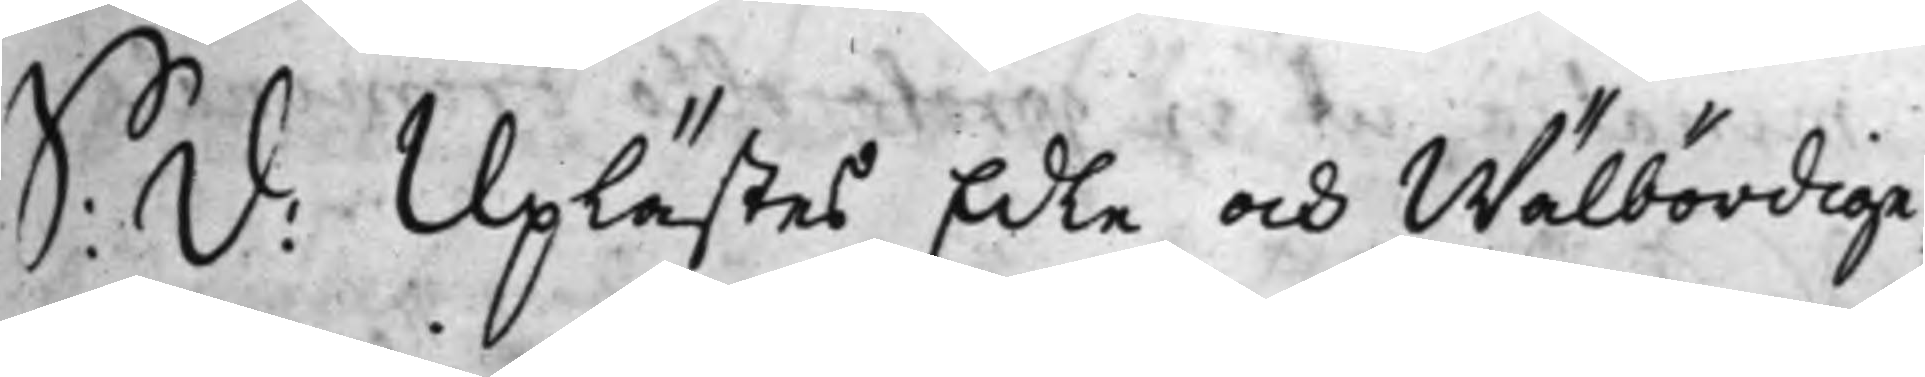S: d: Uplästes Edle och Wälbördige
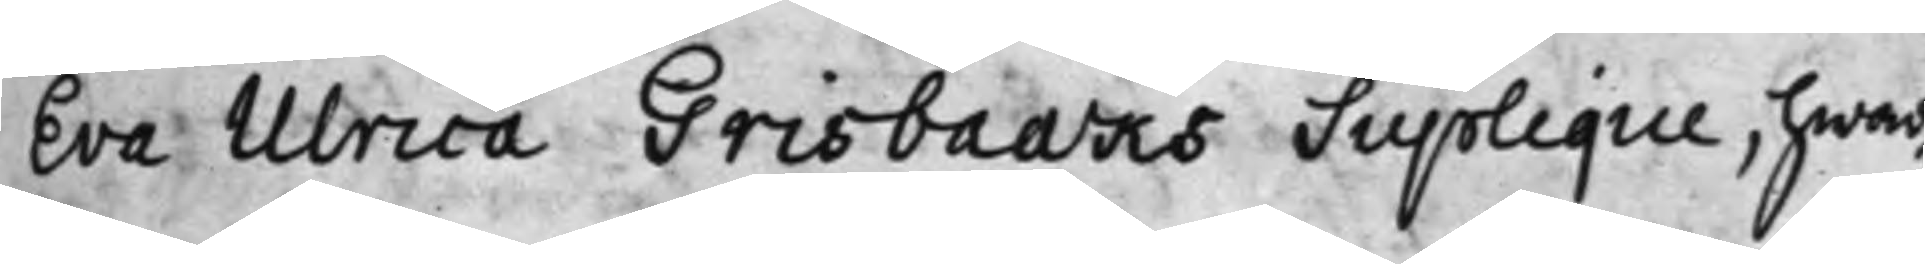Eva Ulrica Grisbaaks Supplique, hwar¬
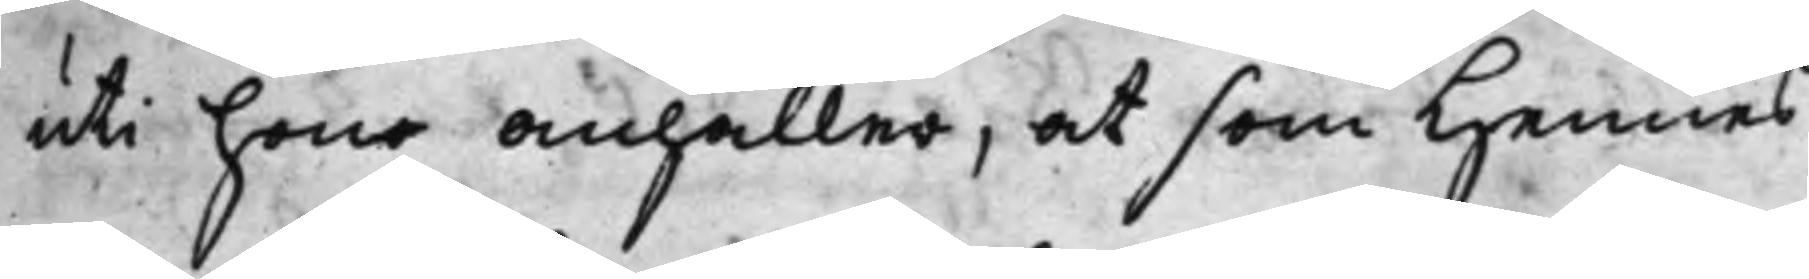uti hono anhåller, at som hennes
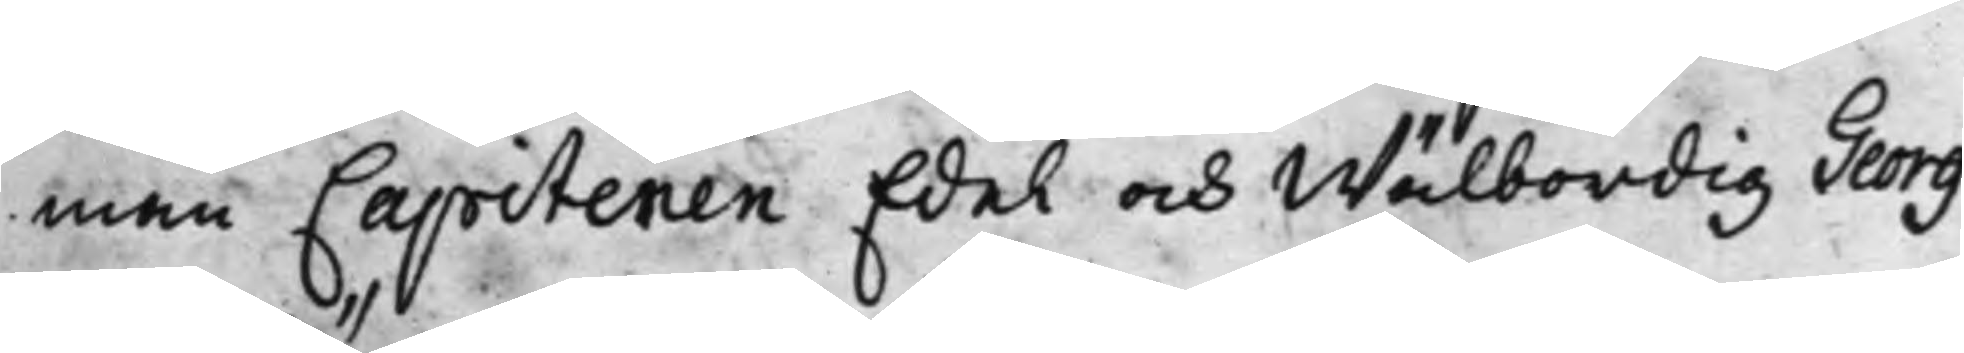man Capitenen Edel och Wälbördig Georg
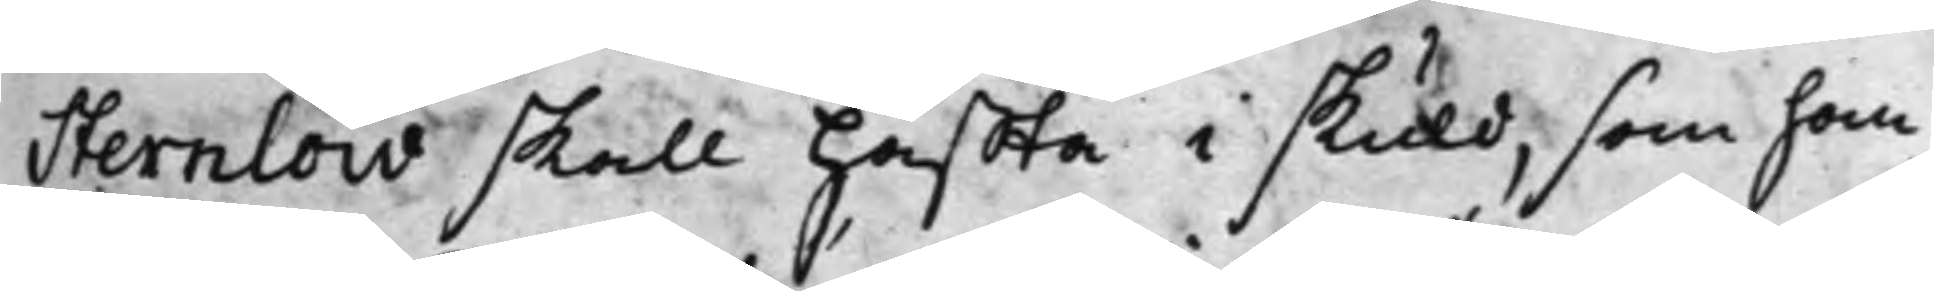Sternlöw skall häffta i skuld, som han
